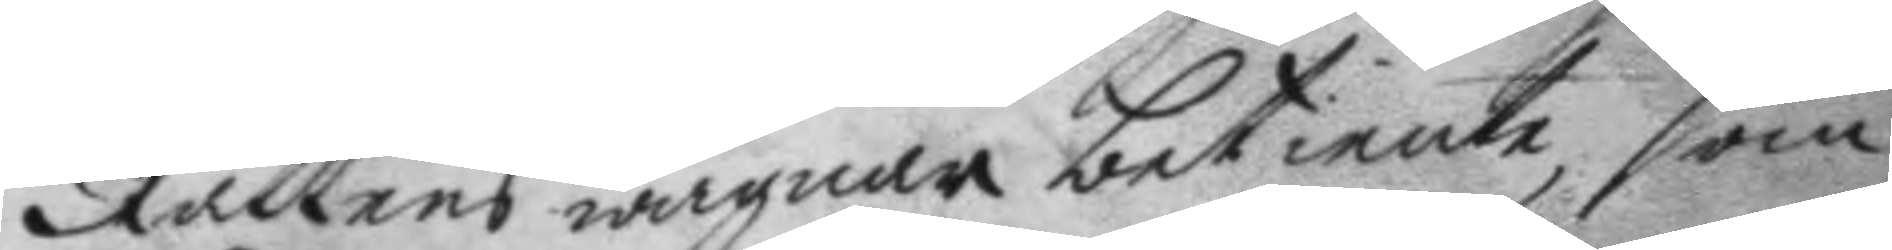Rättens wägnar betiente, som
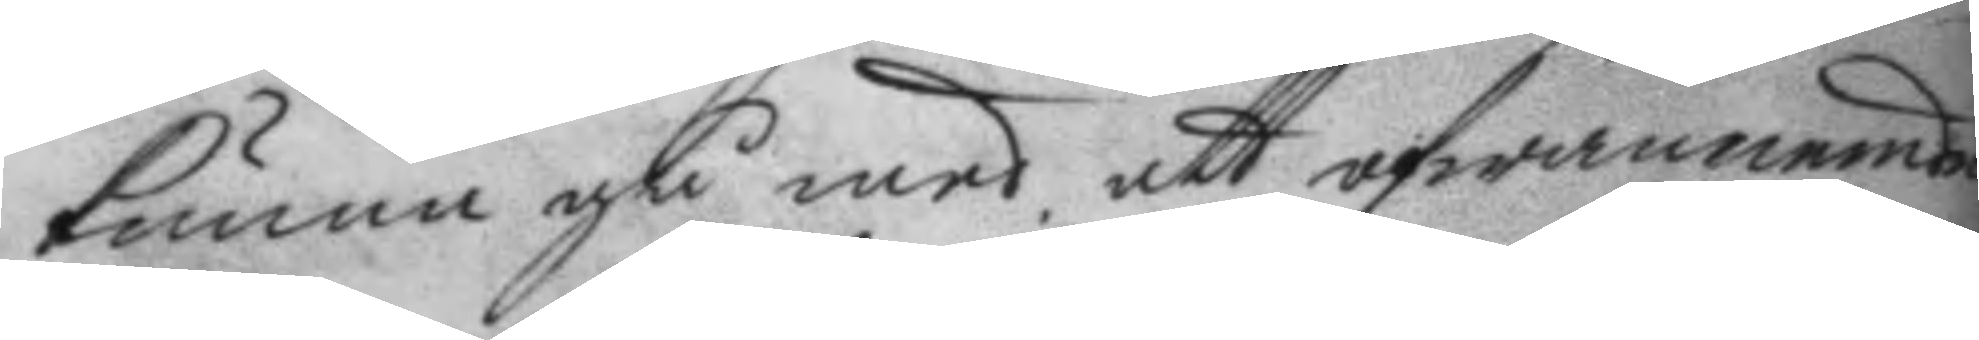kunna gå med att ofwannemde
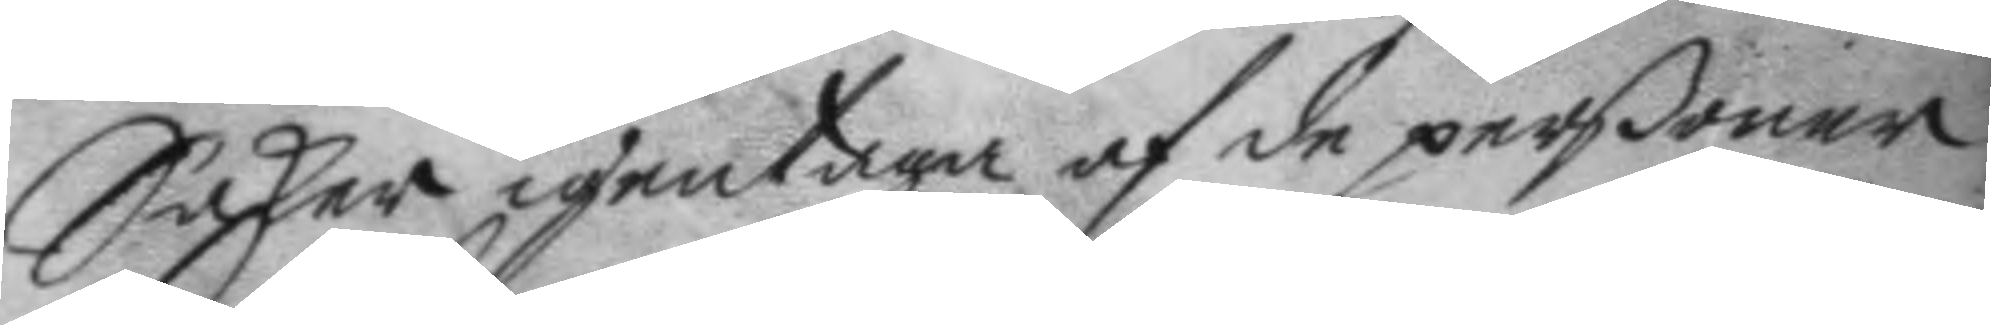Saker igentag af de perßoner
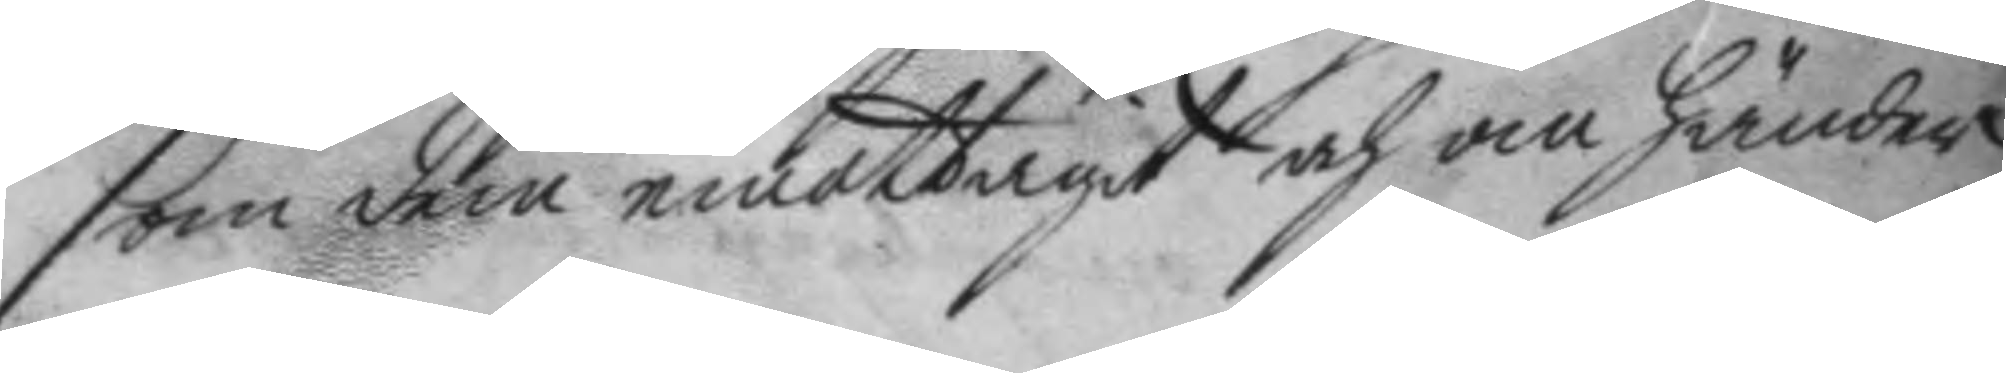som dem emottagit och om händer
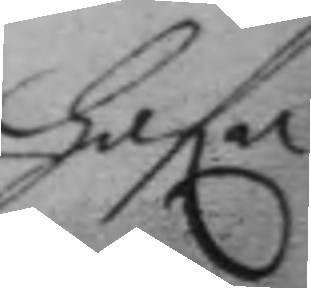hafa
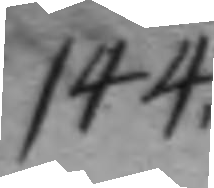144.	
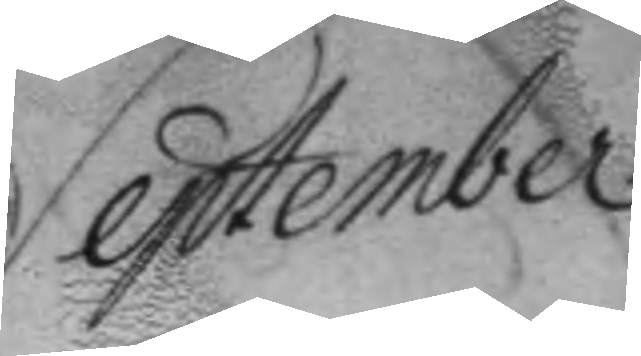September
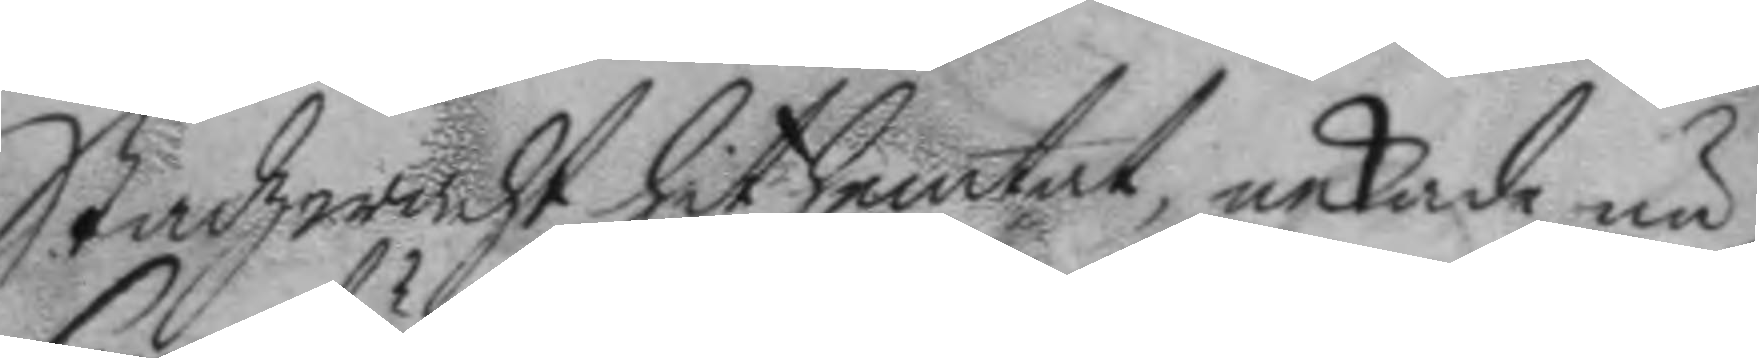Stadzwacht hit hemtat, nekade nu
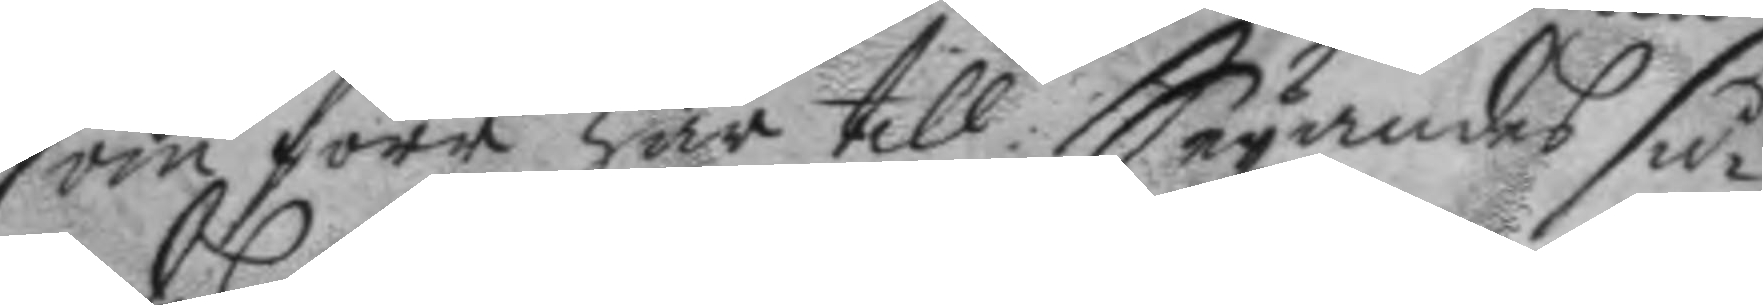som förr här till Seyandes så¬
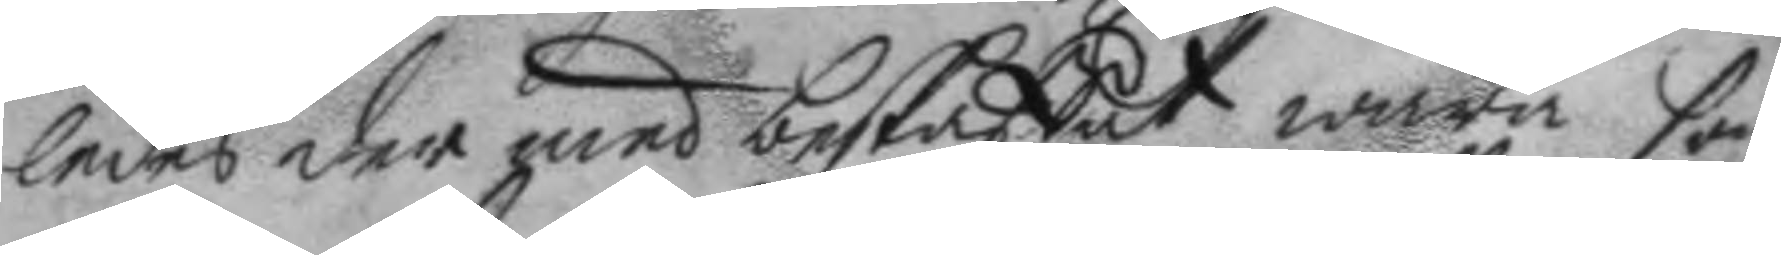ledes der med beskaffat wara som
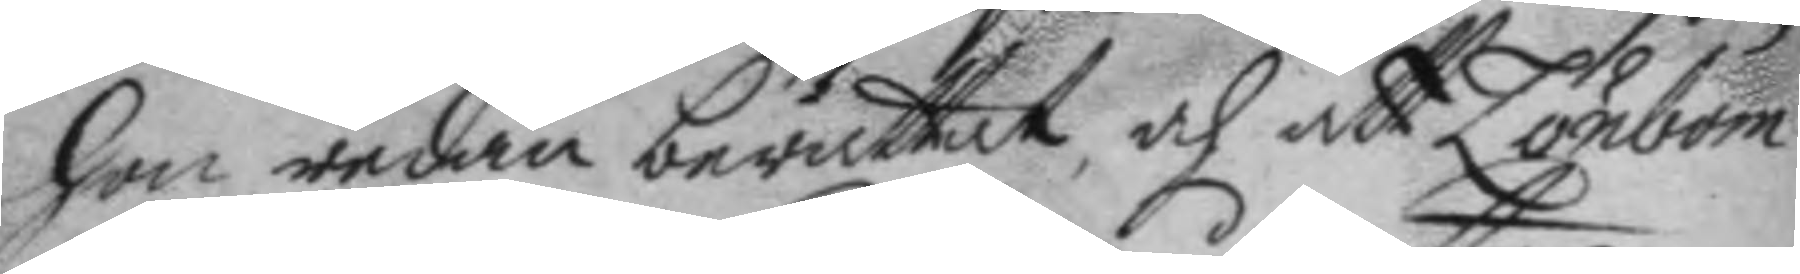hon redan berättat, och att Lönbom
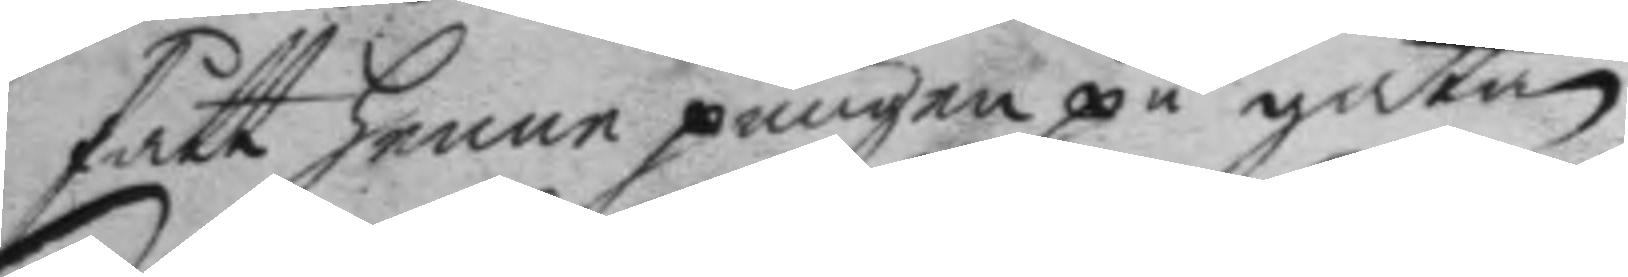fått henne pungen på gatan.
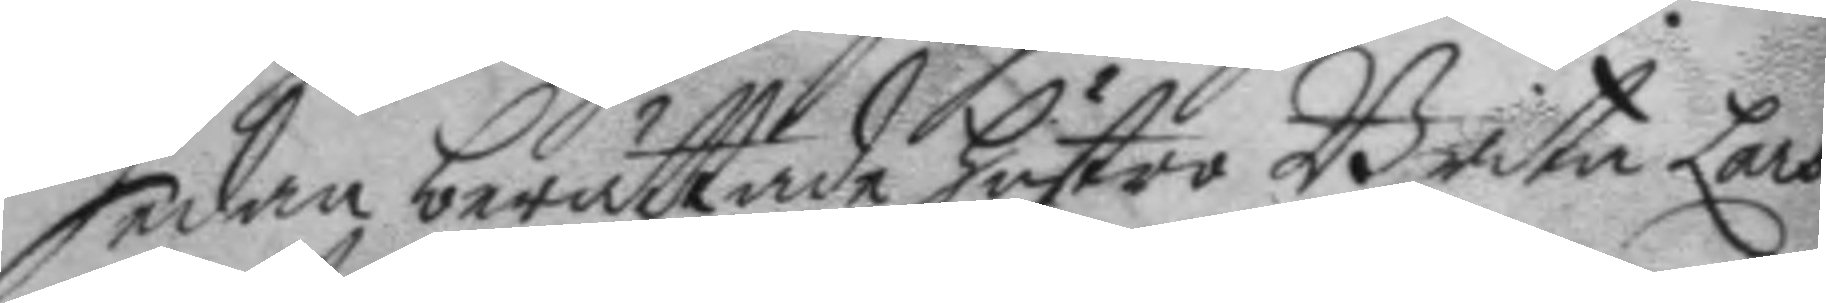Sedan berättade hustro Brita Lars¬
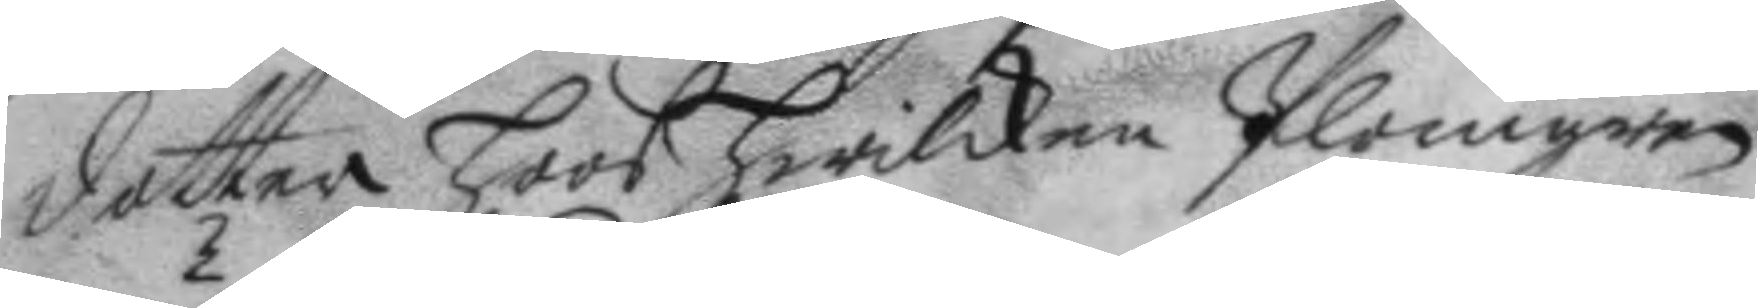dotter hoos hwilken Plomgren
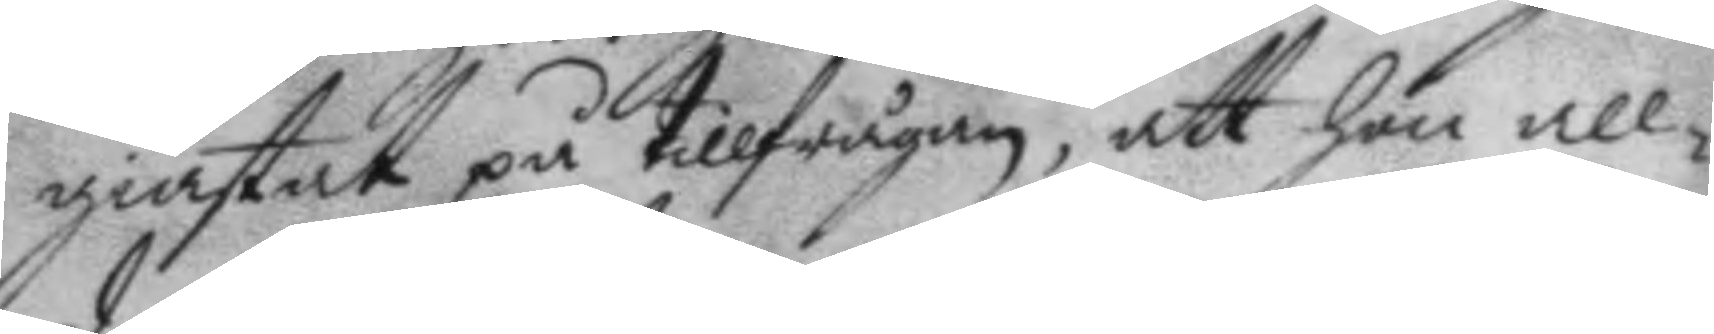giästat på tillfrågan, att hon all¬
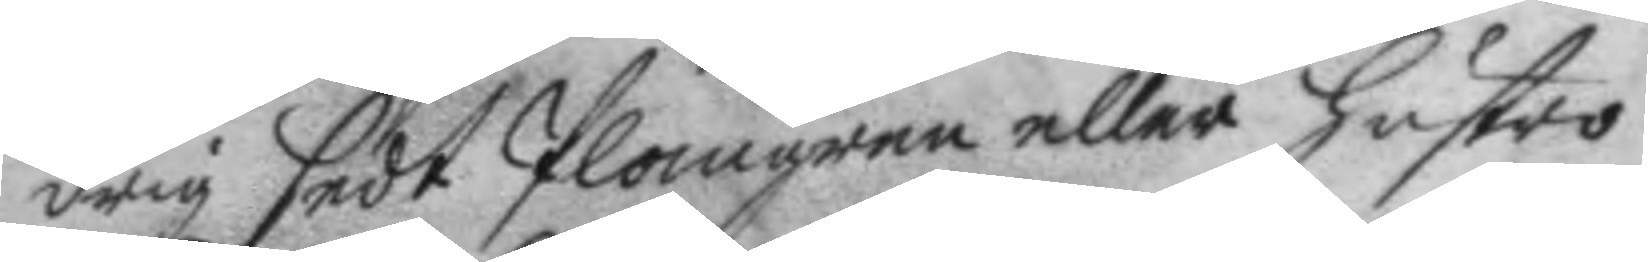drig sedt Plomgren eller hustro
